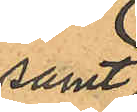samt
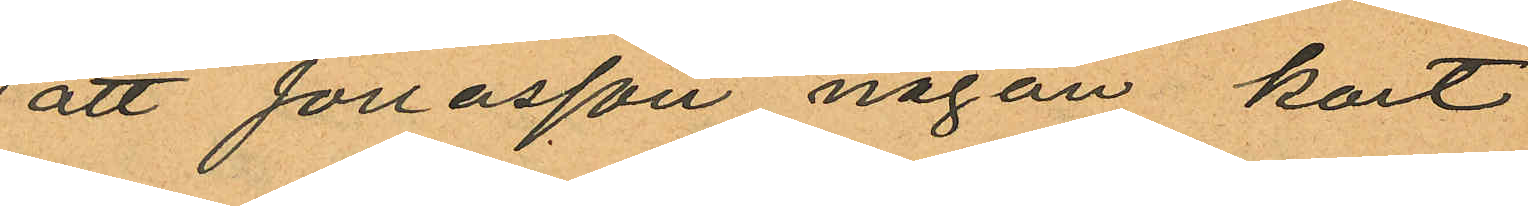att Jonasson någon kort
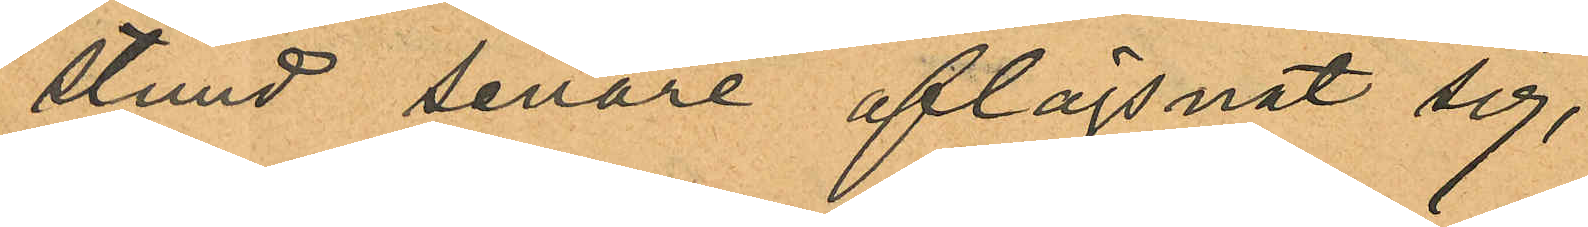stund senare aflägsnat sig,
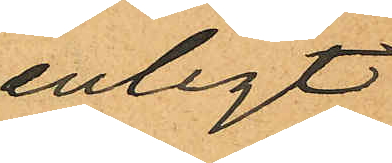enligt
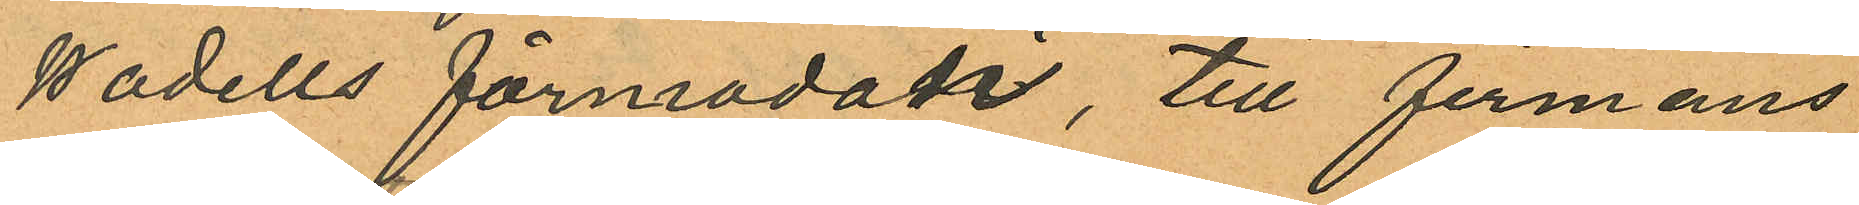Wadells förmodan, till firmans
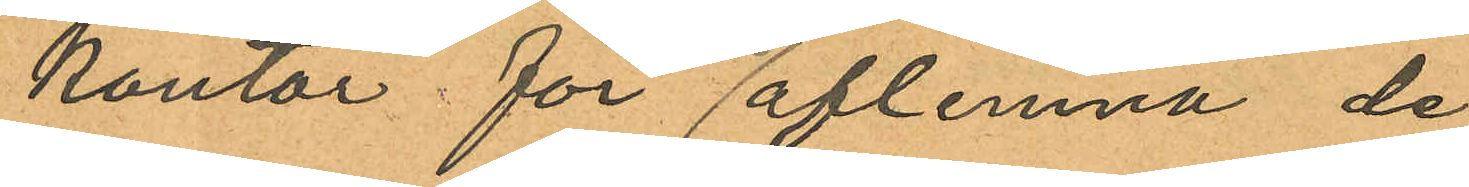kontor för aflemna, de
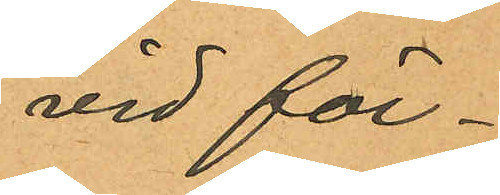vid för¬
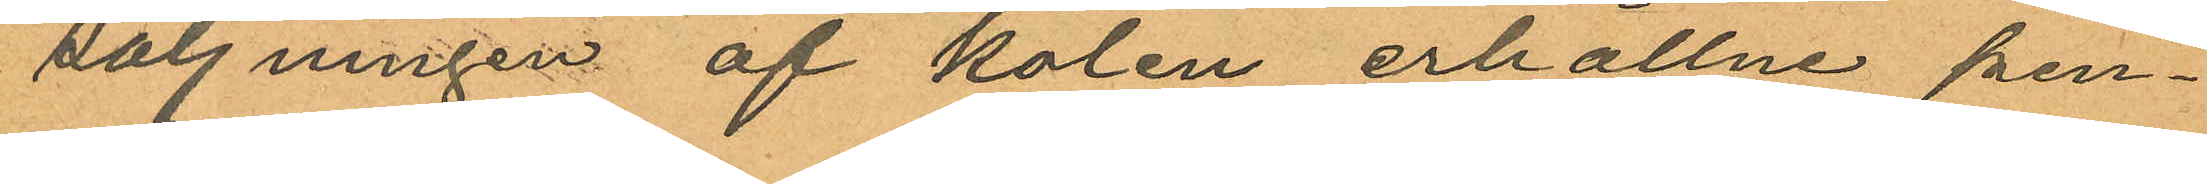säljningen af kolen erhållne pen¬
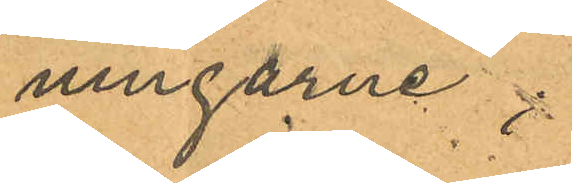ningarne;
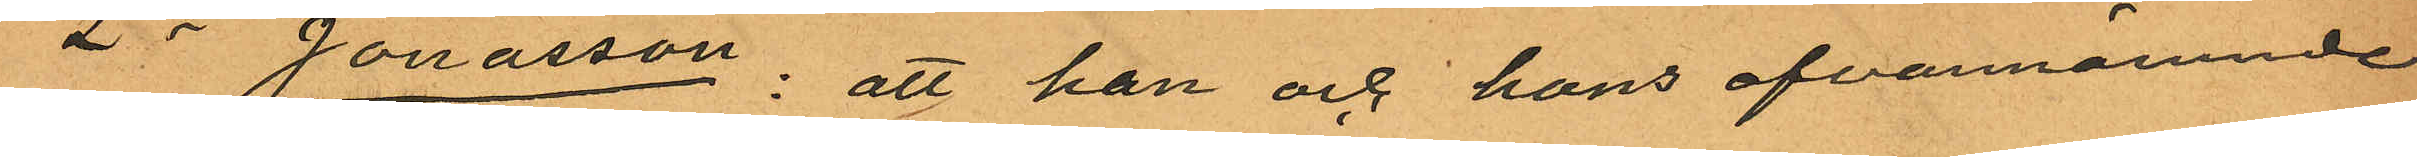2o Jonasson: att han och hans ofvannämnde
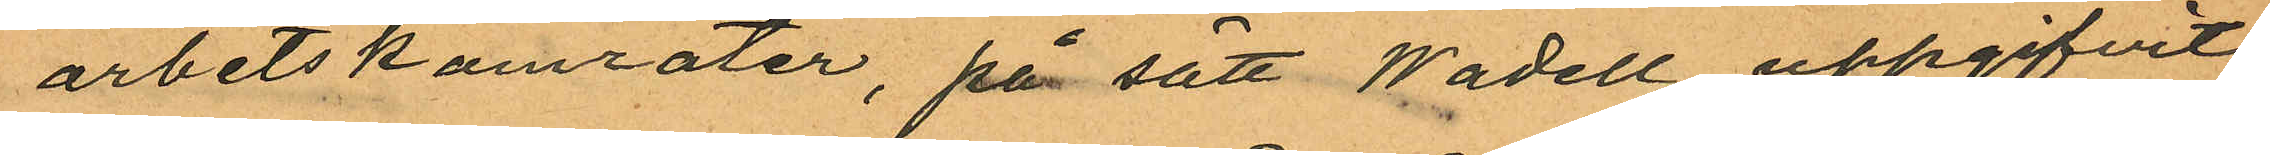arbetskamrater, på sätt Wadell uppgifvit
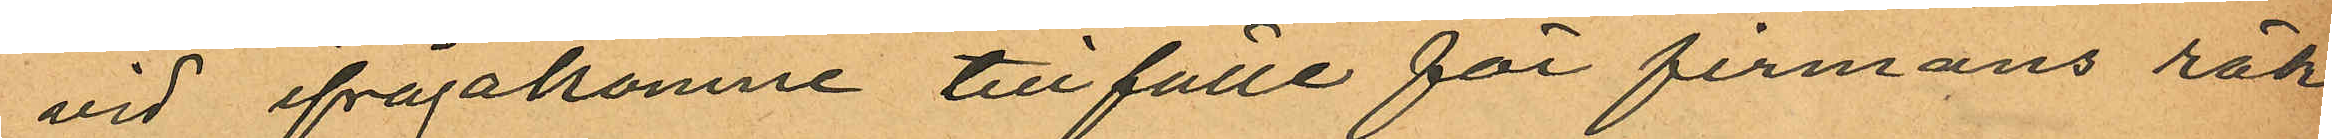vid ifrågakomne tillfälle för firmans räk¬
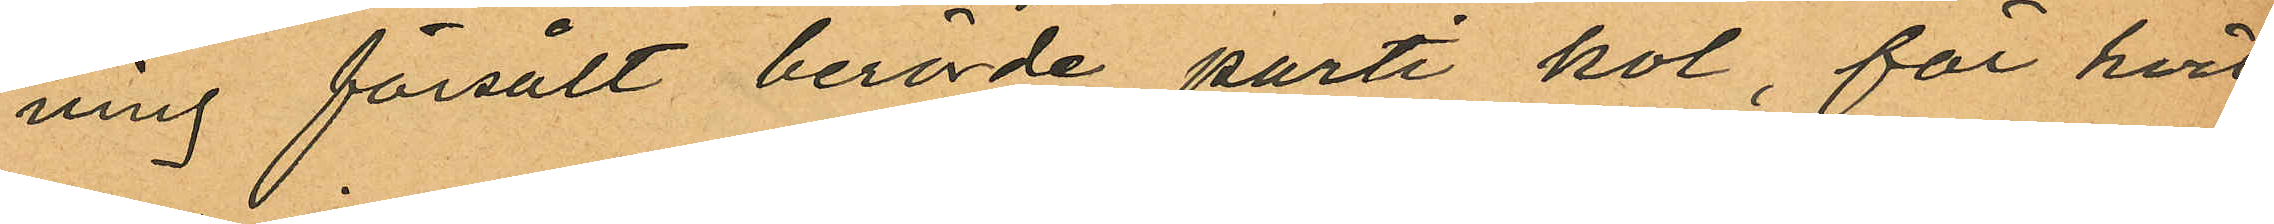ning försålt berörde parti kol, för hvil¬
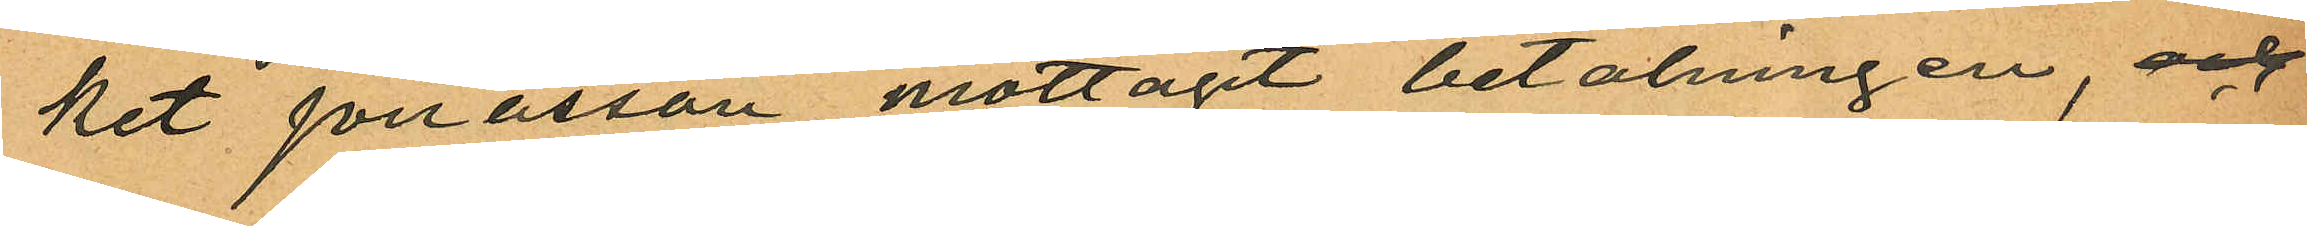ket Jonasson mottagit betalningen, och
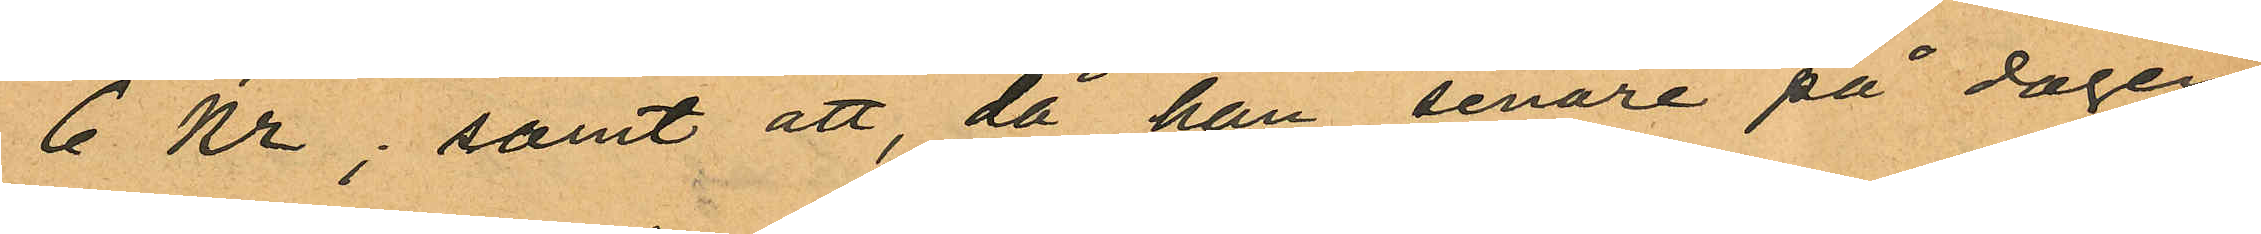6 Kr; samt att, då han senare på dagen
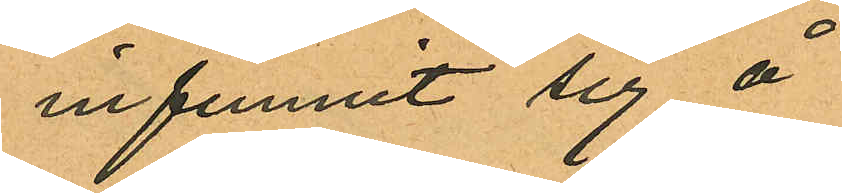infunnit sig å
